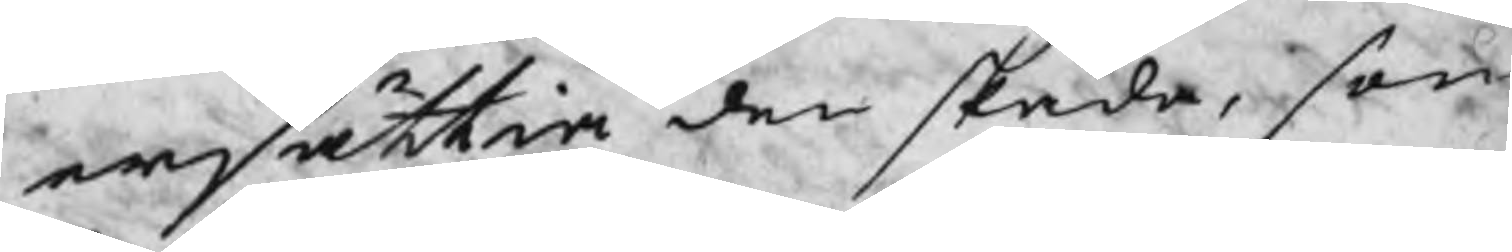ersättia den skada, som
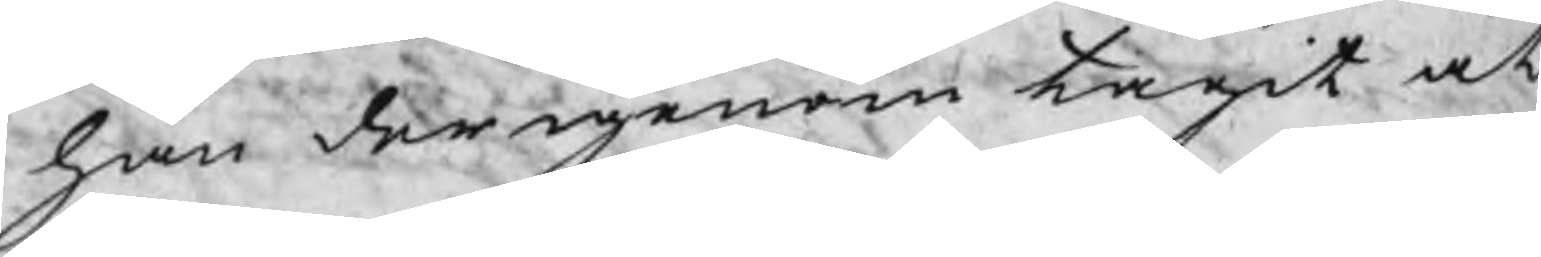han der igenom tagit at
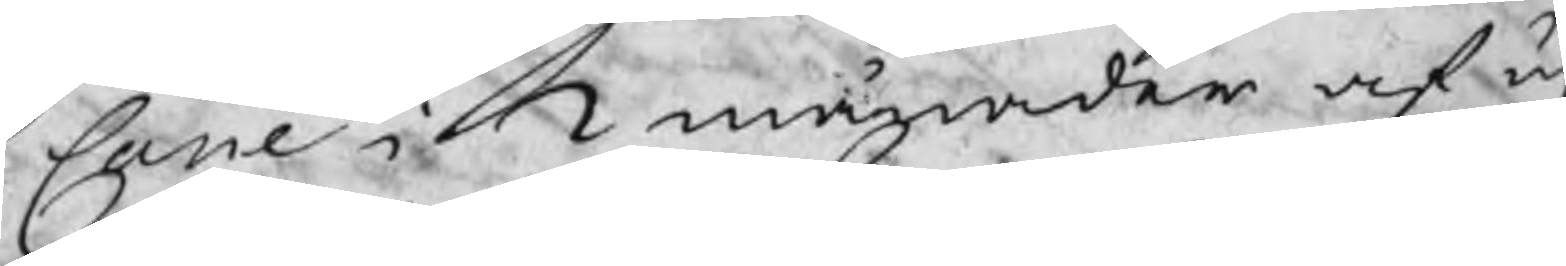Cane i 2 månader af u
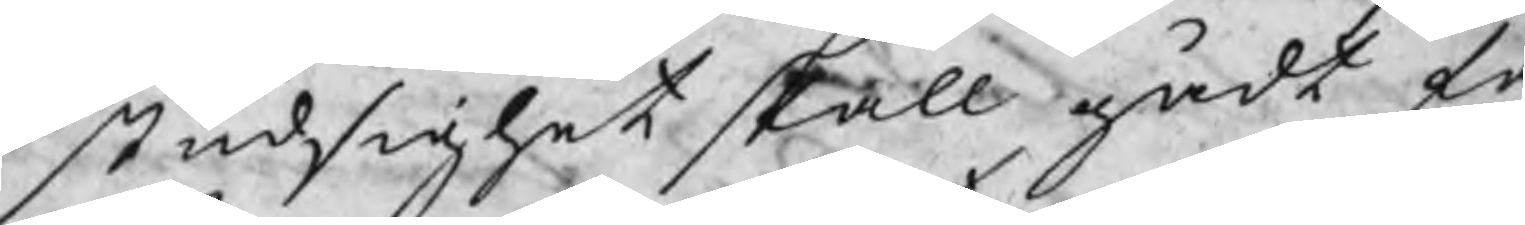studsighet skall gådt få
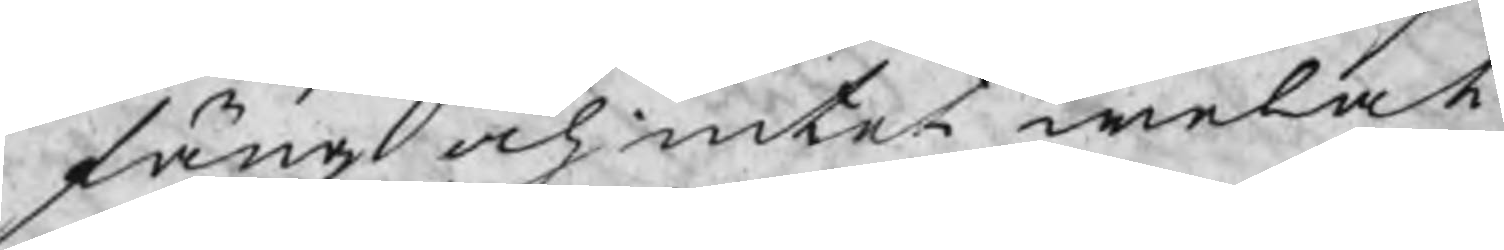fäng och intet welat
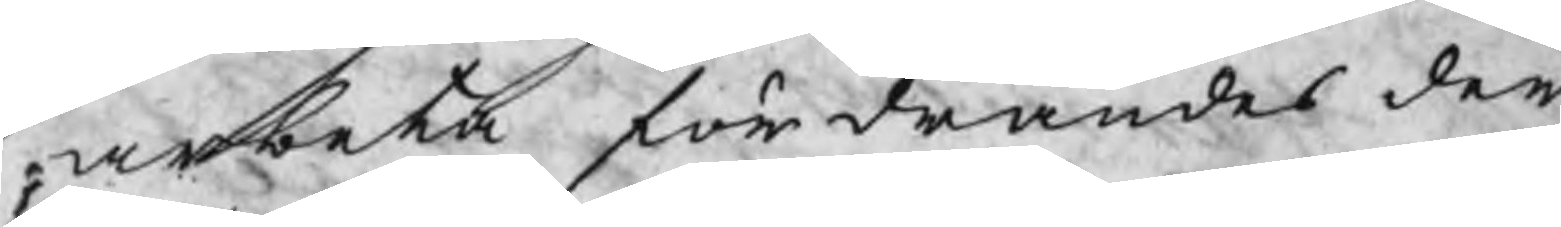arbeta för drandes den
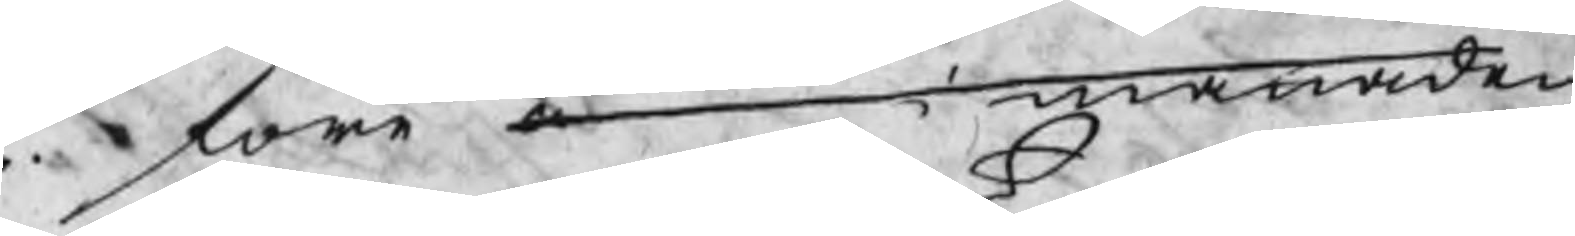före u   i manaden
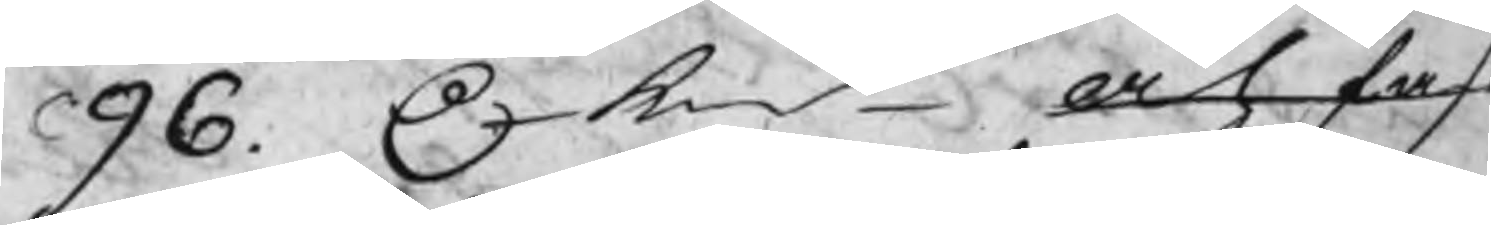96. C kmt Och fast
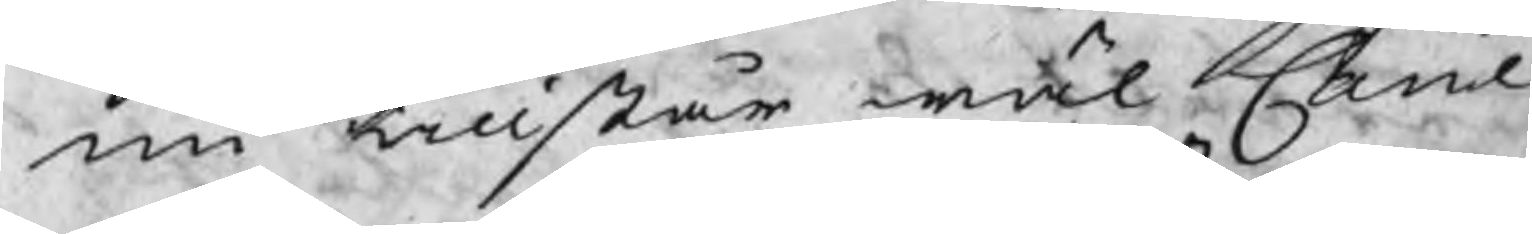nu tillstår wäl Cane
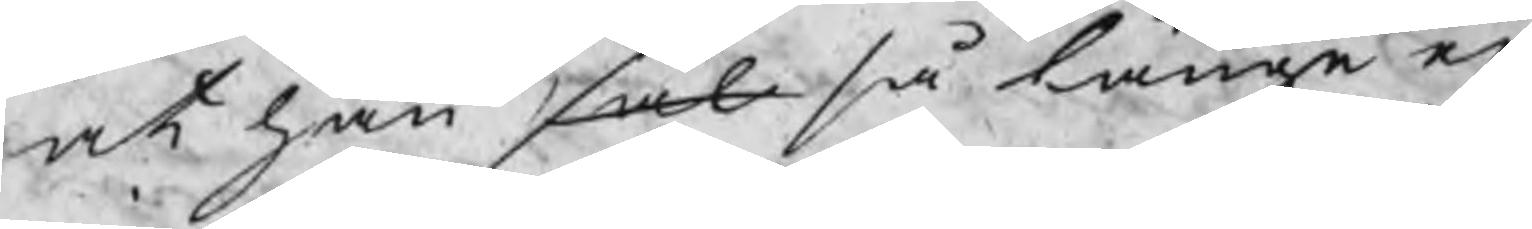at han sal så länge eij
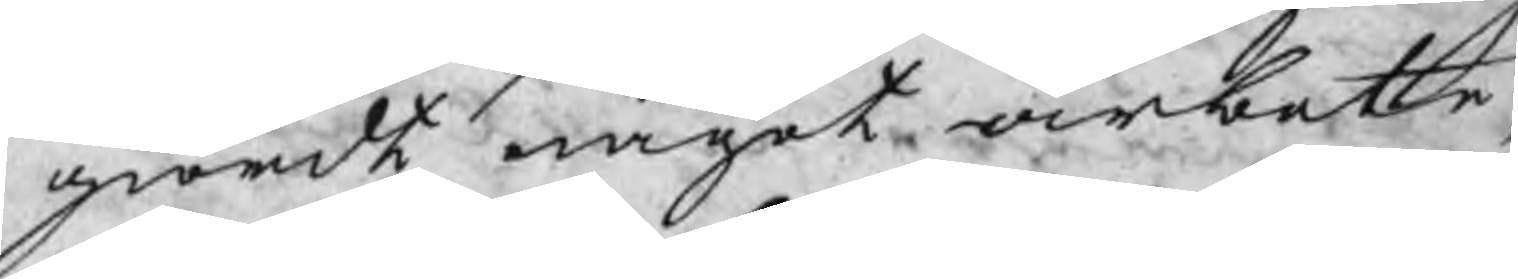giordt något arbete,
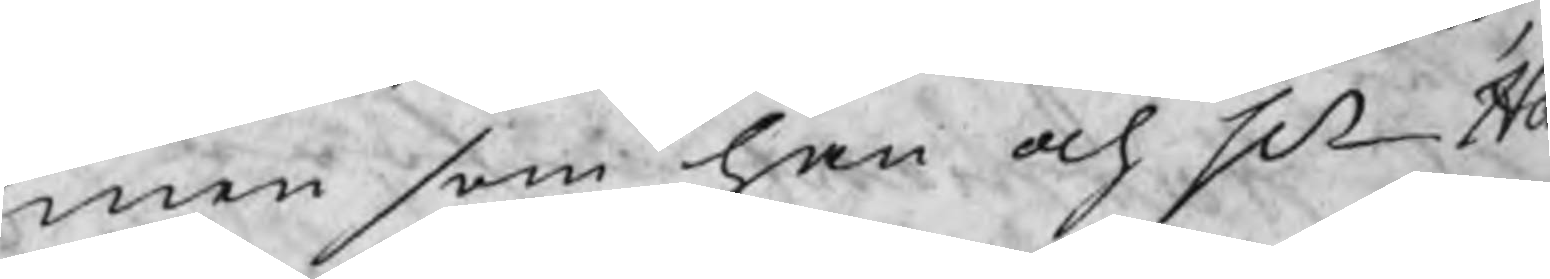men som han och Hr Ha
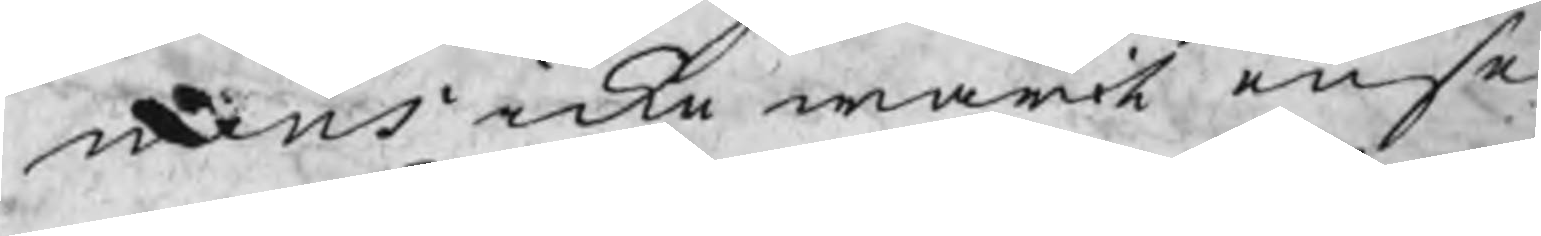mens icke warit ense
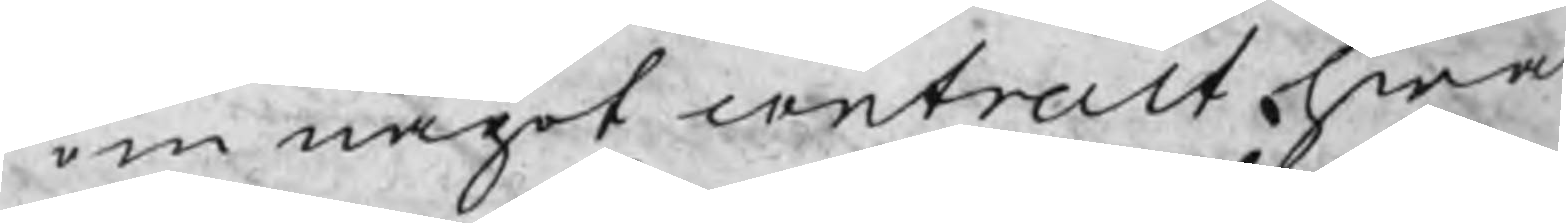om något contract hwar
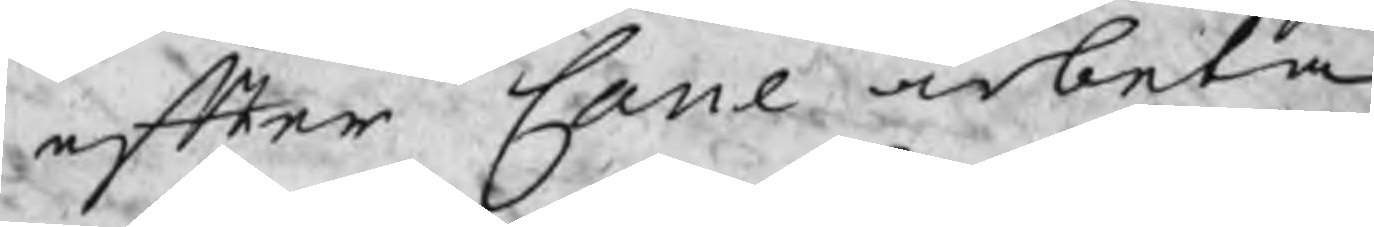efter Cane arbeta
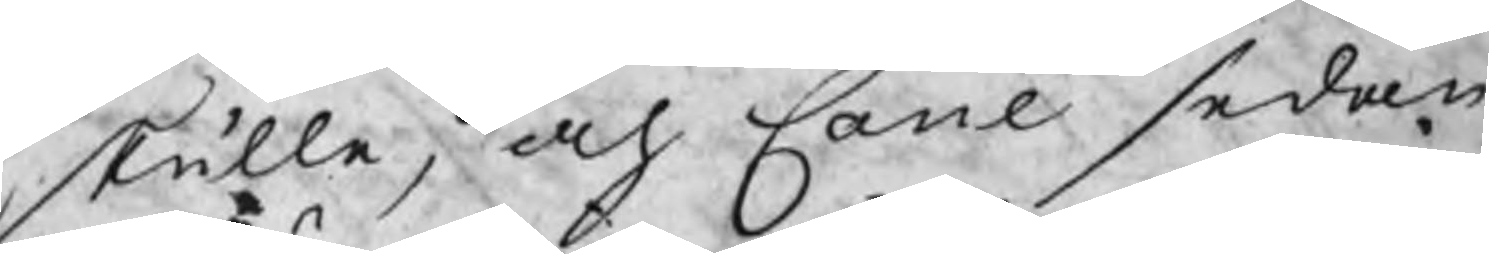skulle, och Cane sedan
